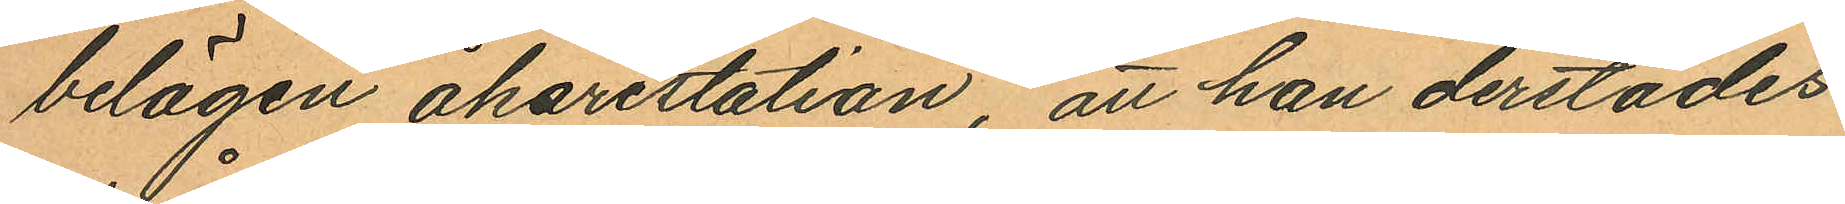belägen åkarestation, att han derstädes
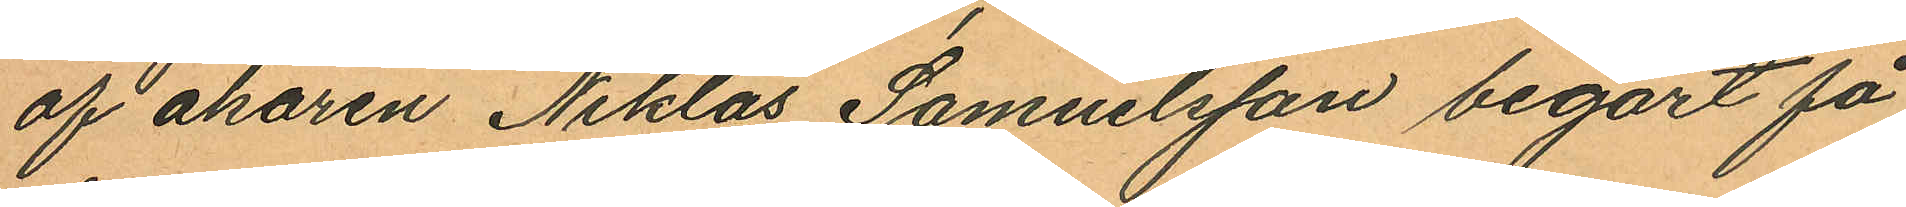af åkaren Niklas Samuelsson begärt få
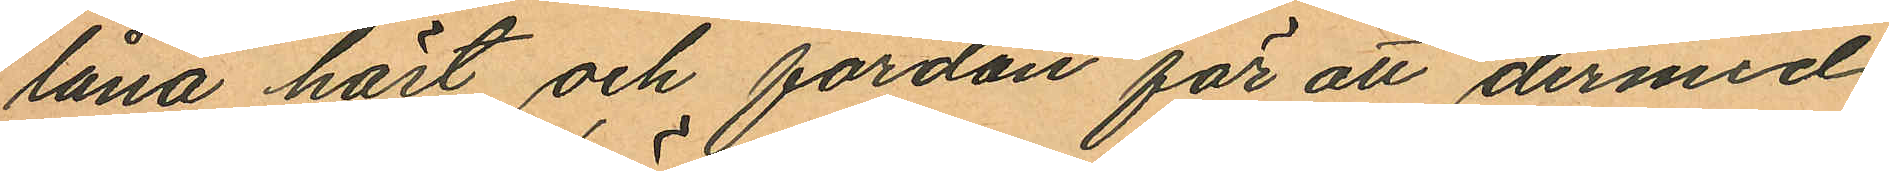låna härt och fordon för att dermed
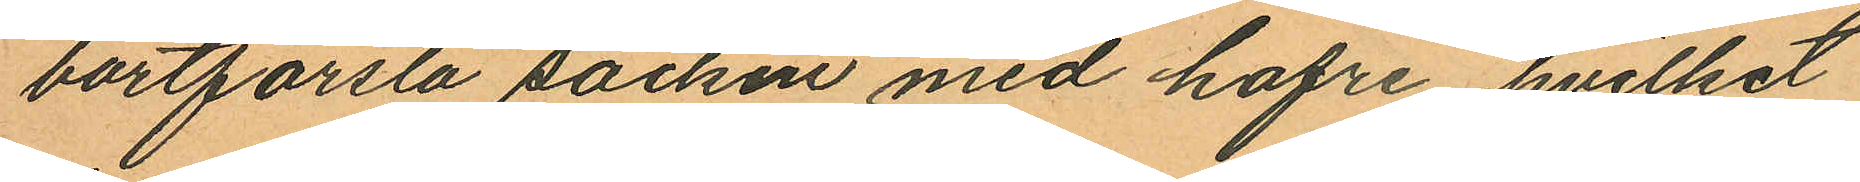bortforsla säcken med hafre, hvilket
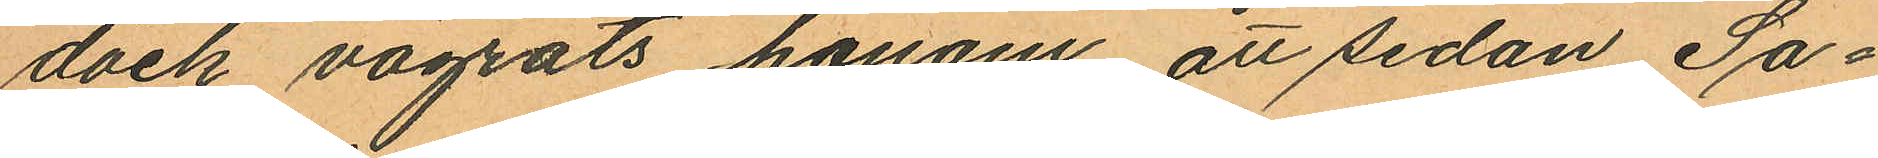dock vägrats honom, att sedan Sa¬
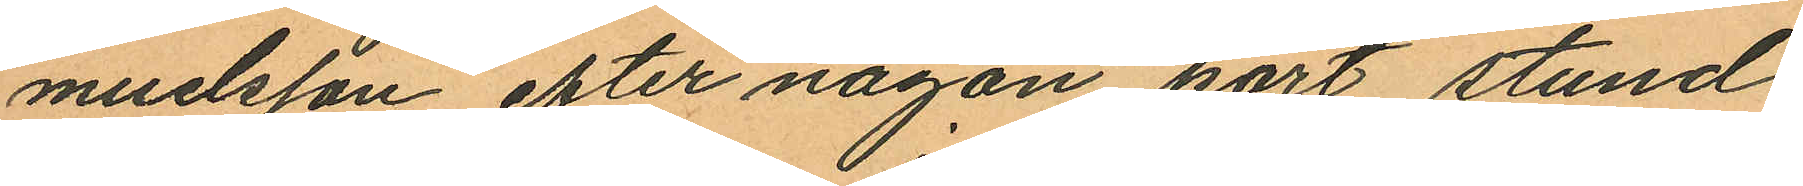muelsson efter någon kort stund
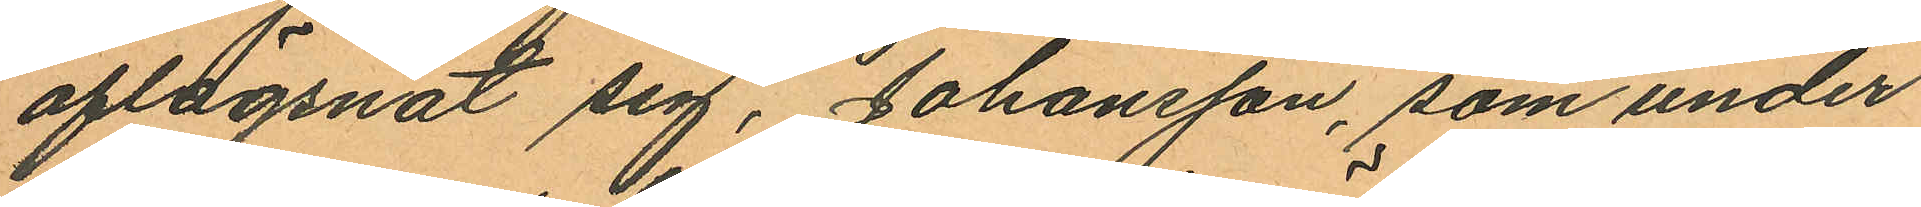aflägsnat sig, Johansson, som under
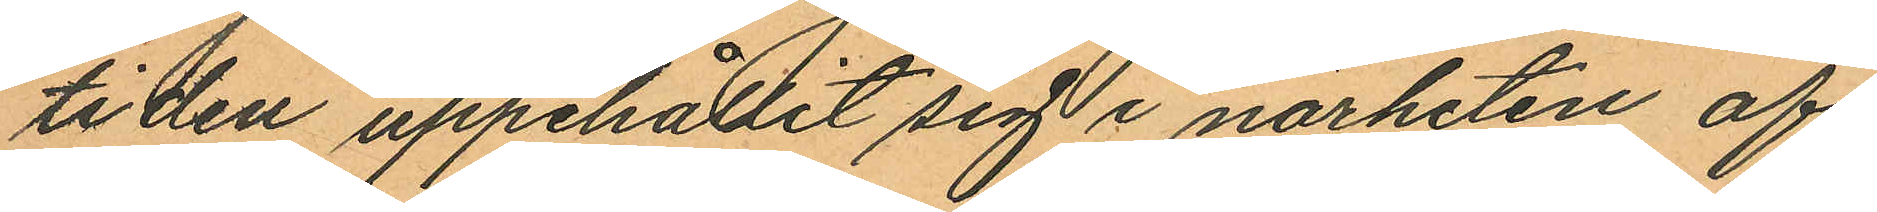tiden uppehållit sig i närheten af
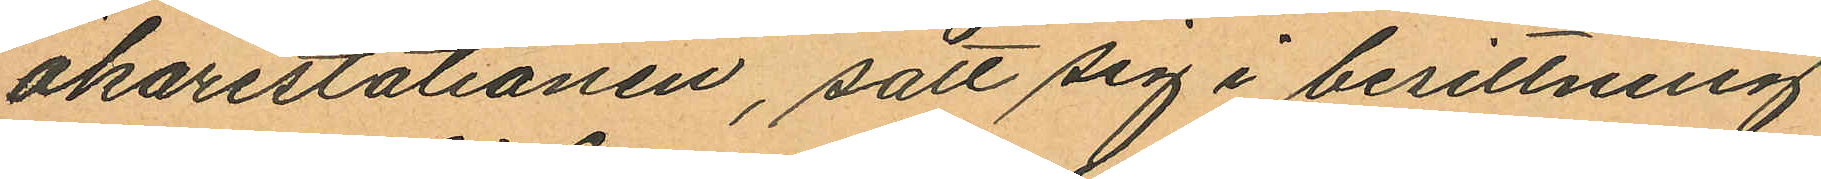åkarestationen, satt sig i besittning
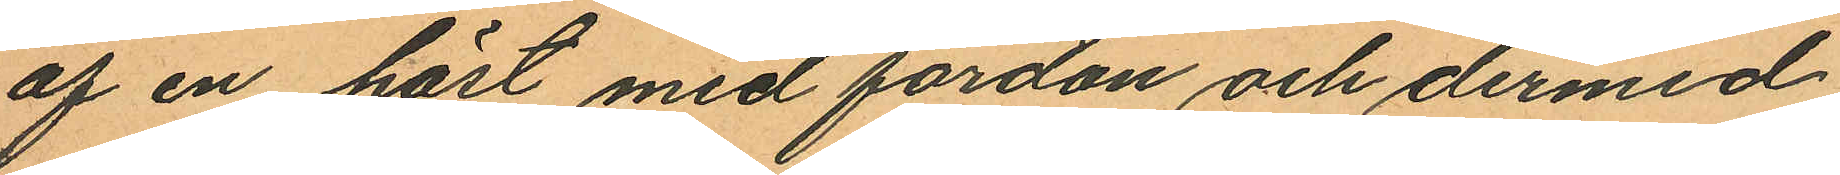af en häst med fordon och dermed
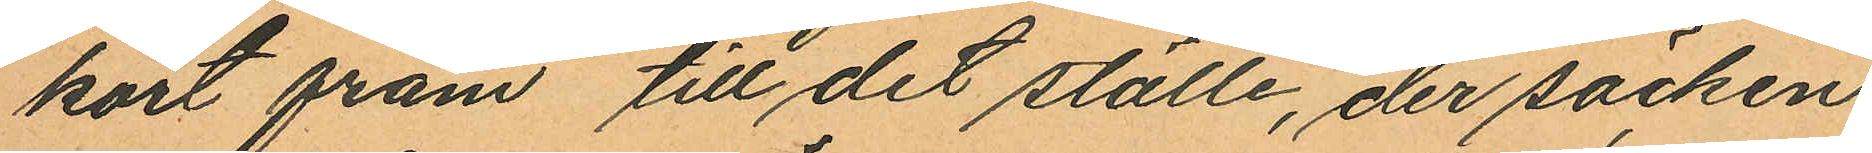kört fram till det ställe, der säcken
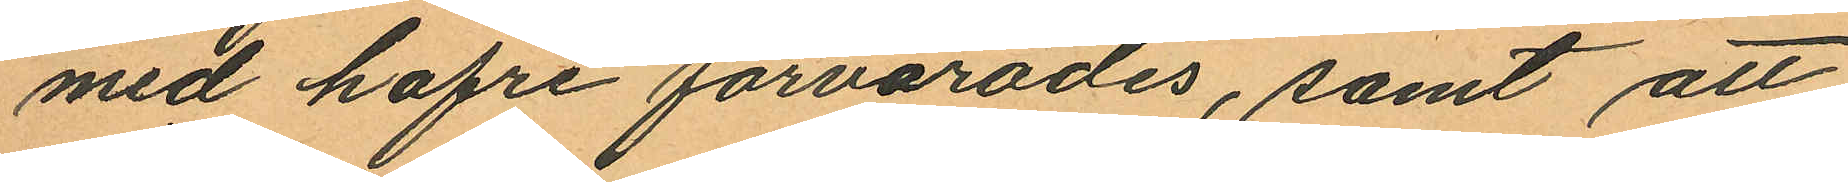med hafre förvarades, samt att
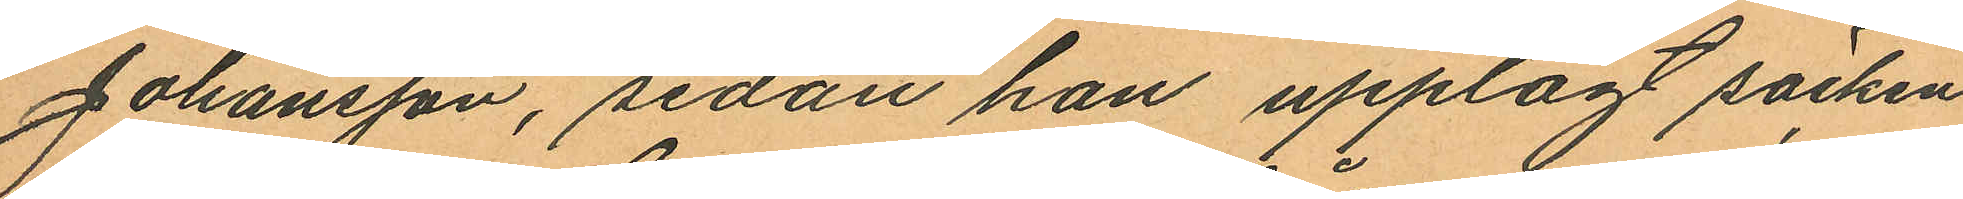Johansson, sedan han upplagt säcken
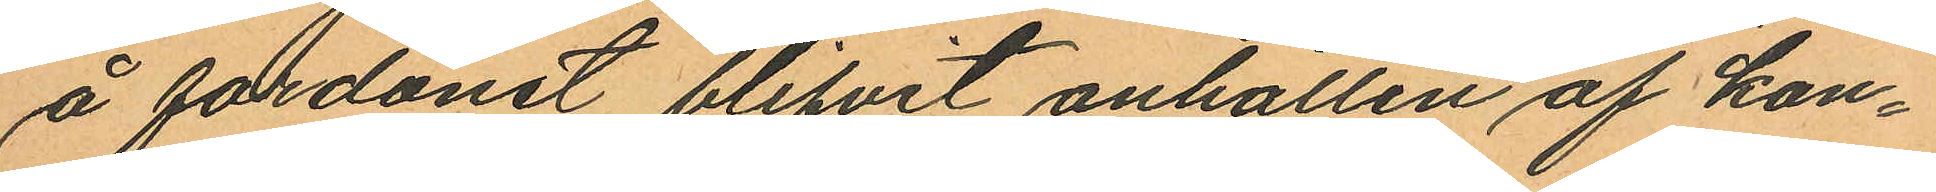å fordonet blifvit anhållen af kon¬
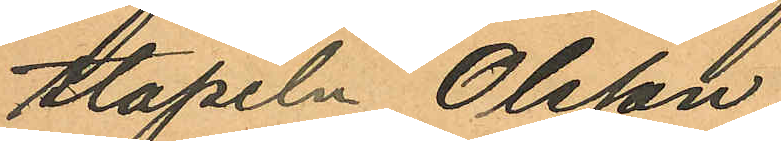stapeln Olsson.
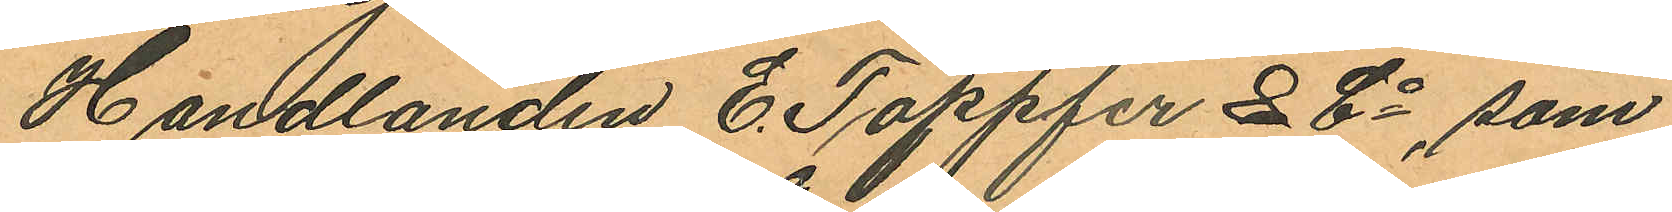Handlanden C. Täppfer & Co, som
